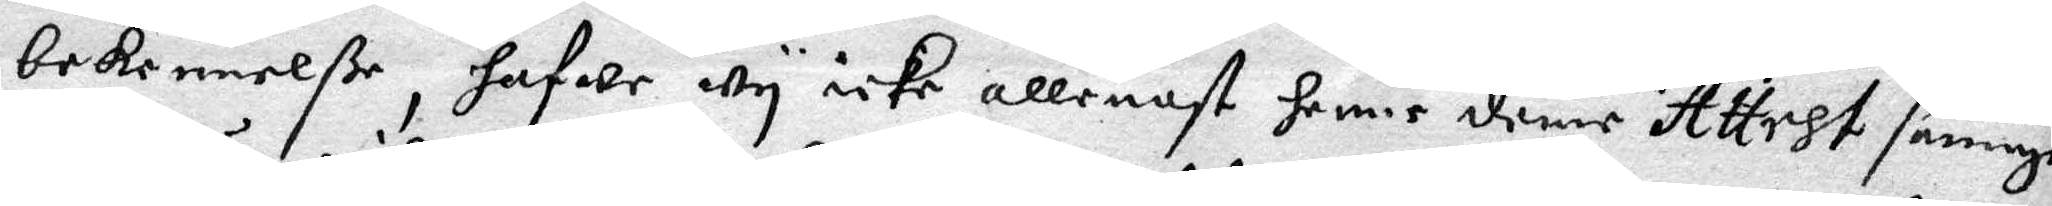bekennelße, hfwe wy icke allenast henne denne Attest sanning
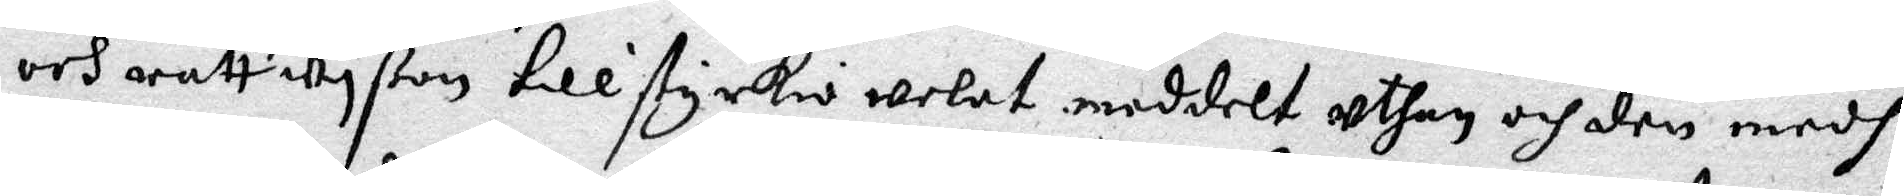och rättwyßan tillstyrkio welat meddelt uthan och den medh
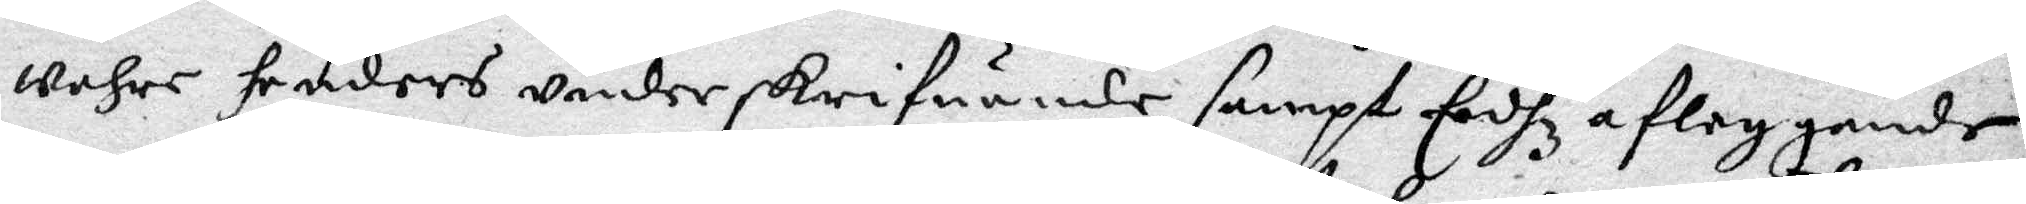wåhre henders underskrifuande sampt Eedhz afleggande
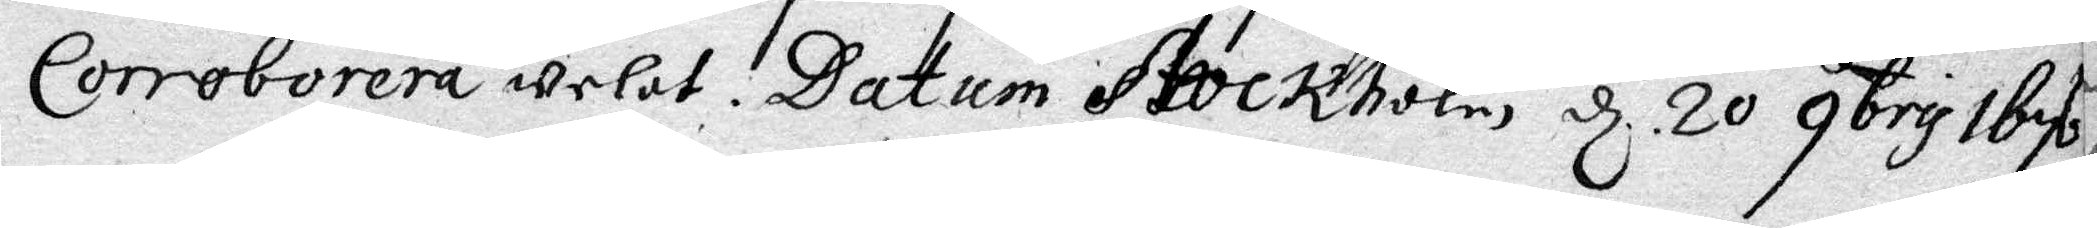Corroborera welat. Datum Stockholm d 20 qbris 167
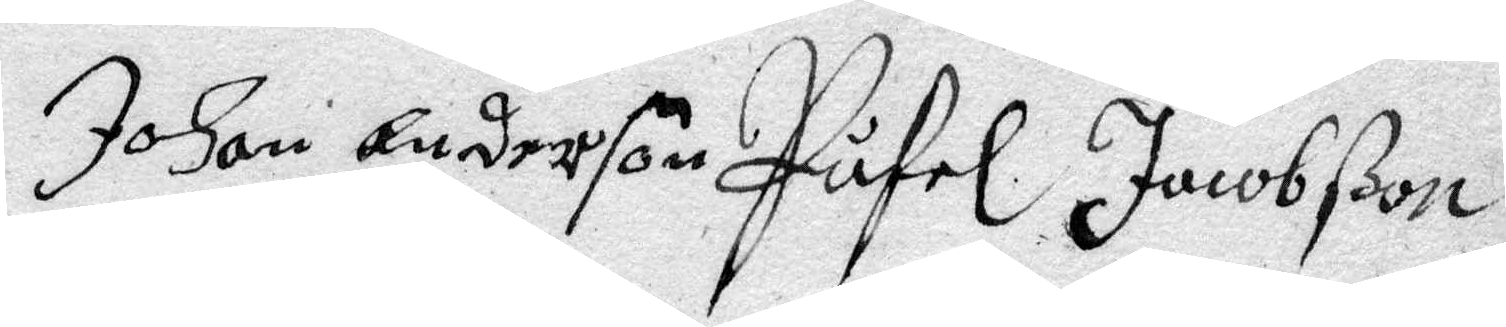Johan Anderson Påfel Jacobßson
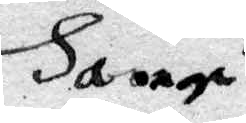Ha
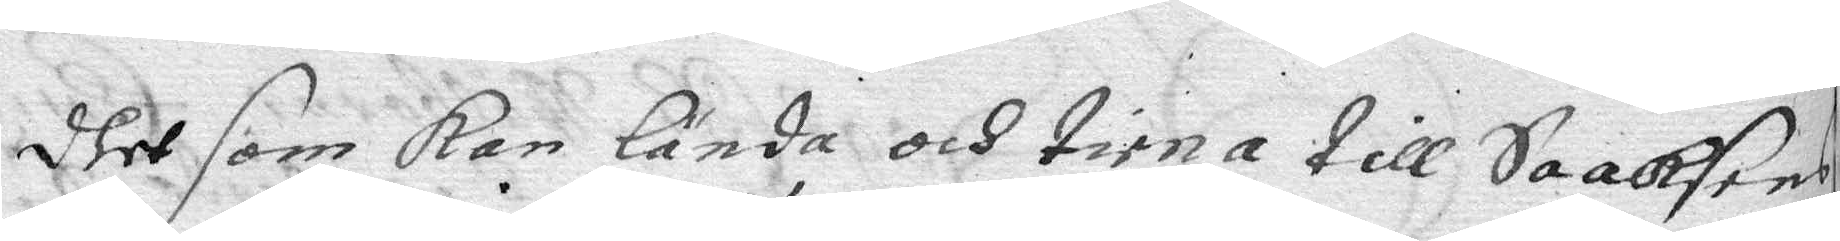dhet som kan lända och tiena till Saaksens
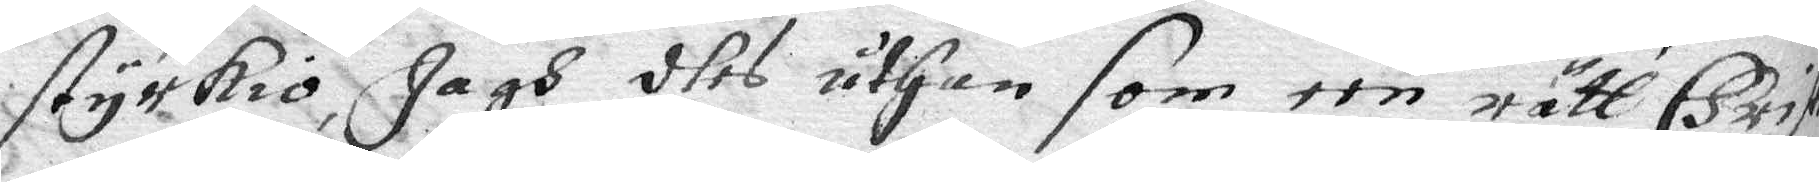styrkio, Jagh dhes uthan som een rätt Christ
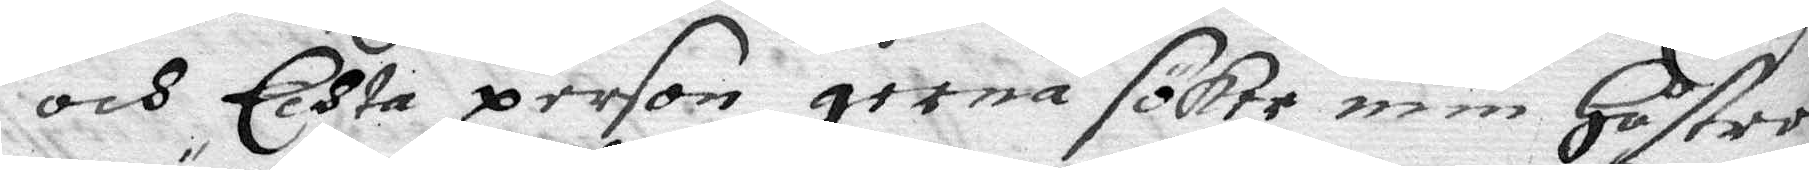och Echta person gerna sökte min hustrus
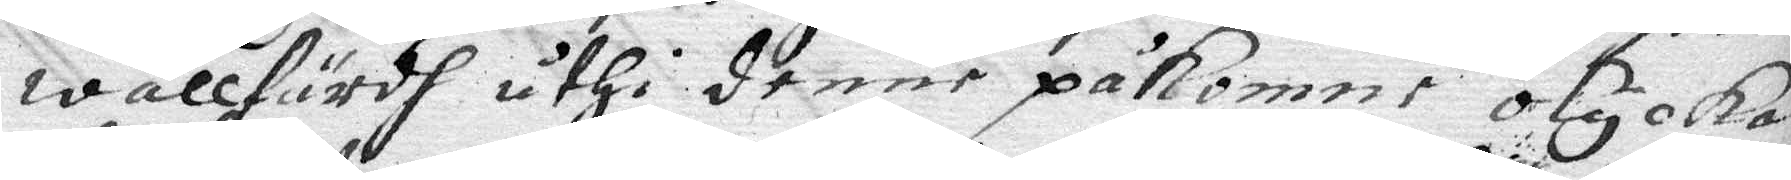wällfärdh uthi denne påkomne olyckan
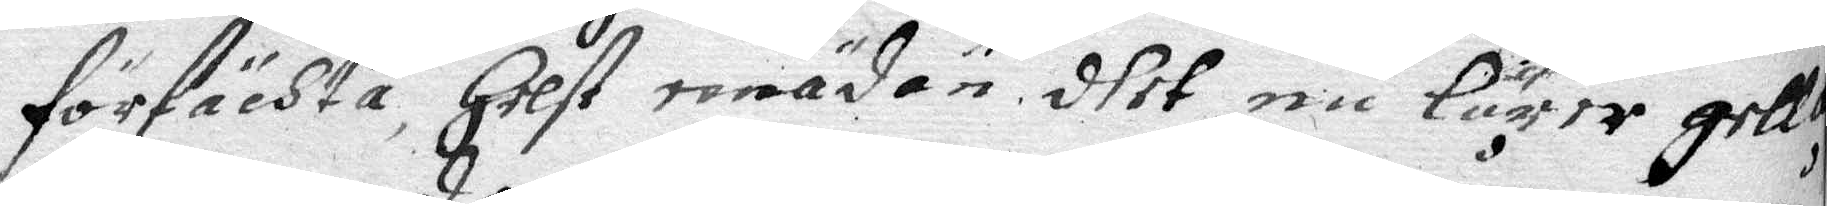förfächta, helst emädan dhet nu lärer gella
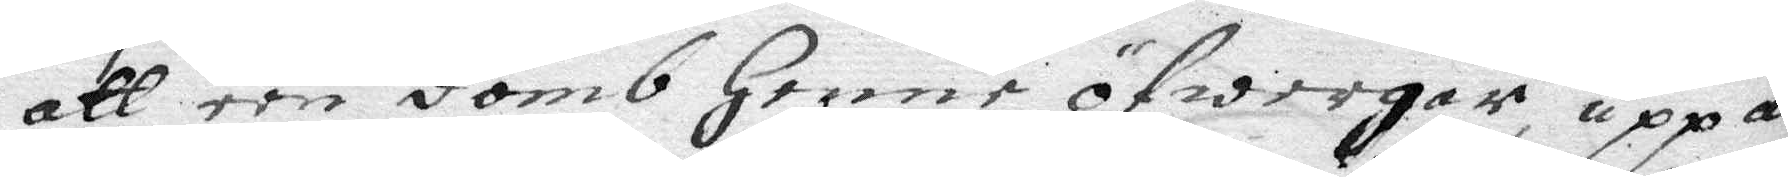att een domb henne öfwergår, uppå
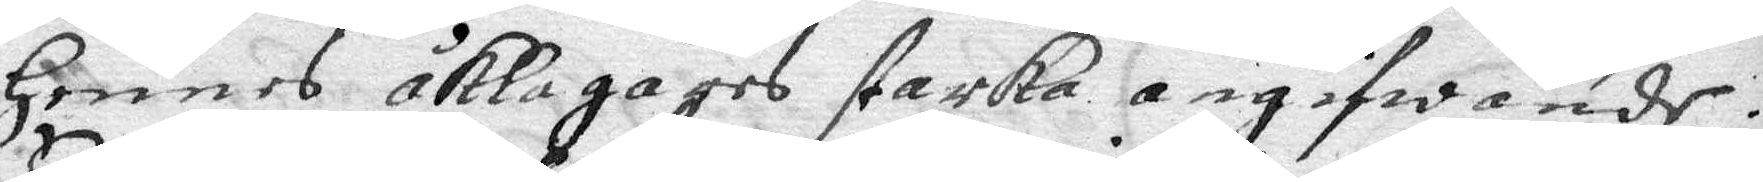hennes åklagares starka angifwande.
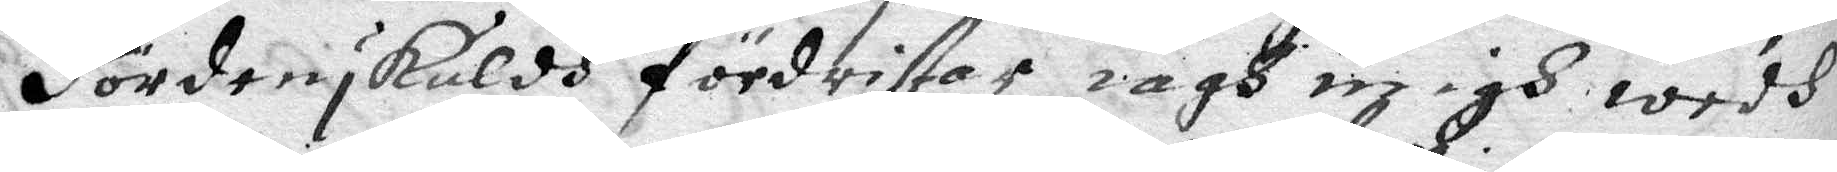Fördenskuldh fördristar iagh migh wedh
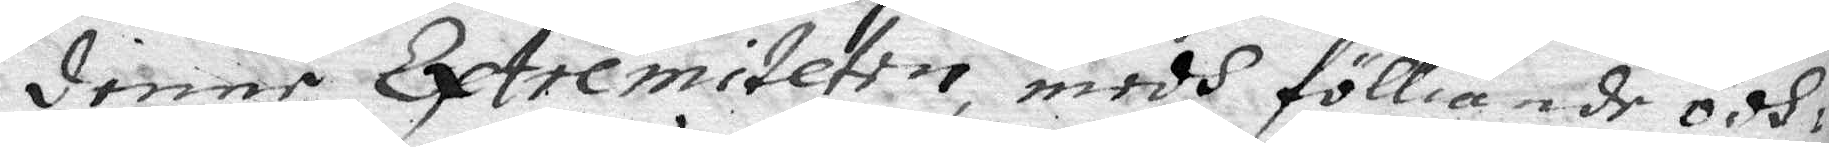denne Extremiteten medh fölliande ödh¬
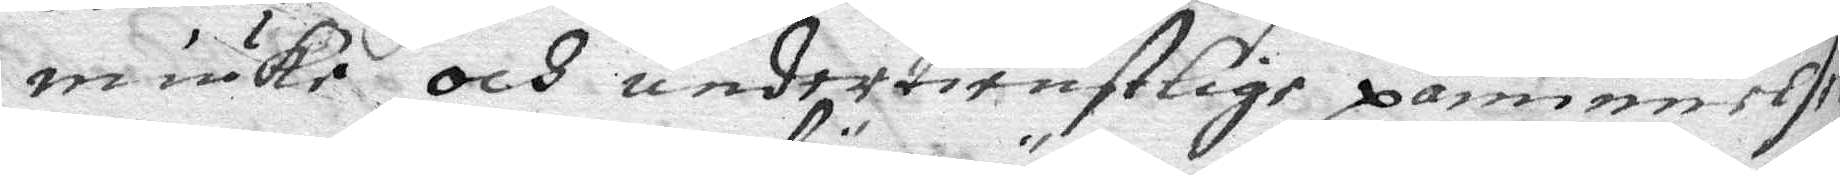miuke och undertienstlige påminnelse
